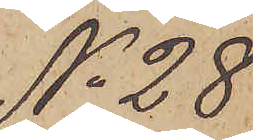No 28
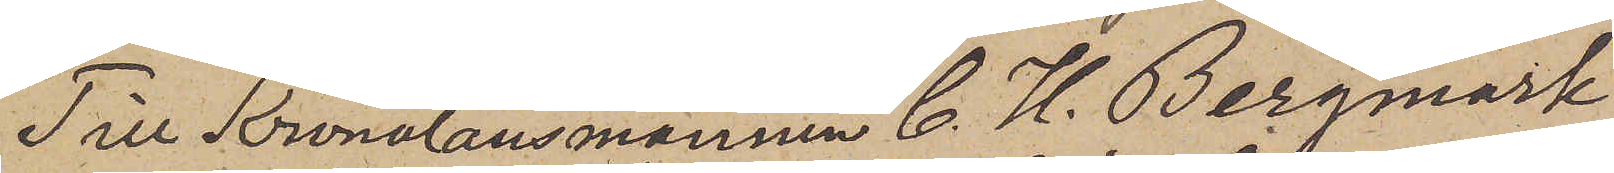Till Kronolänsmannen C. H. Bergmark
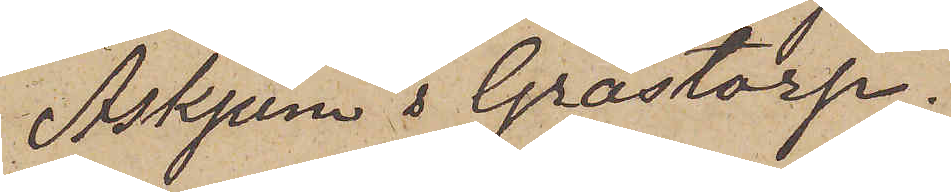Askjum & Grästorp.
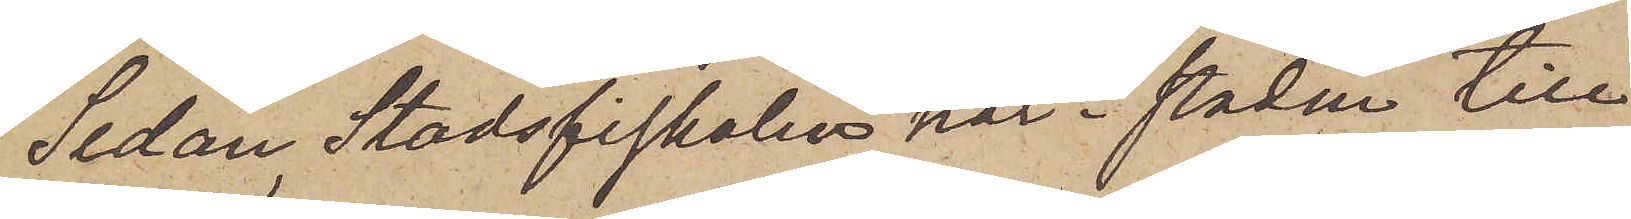Sedan Stadsfiskalen här i staden till
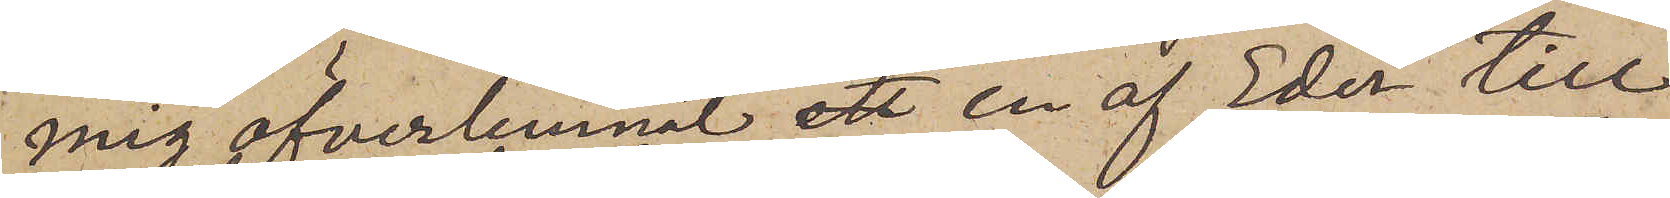mig öfverlemnat en af Eder till
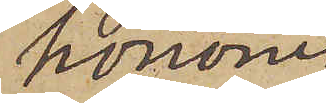honom
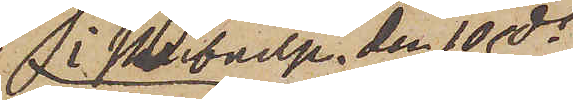i skrivelse, den 10 ds
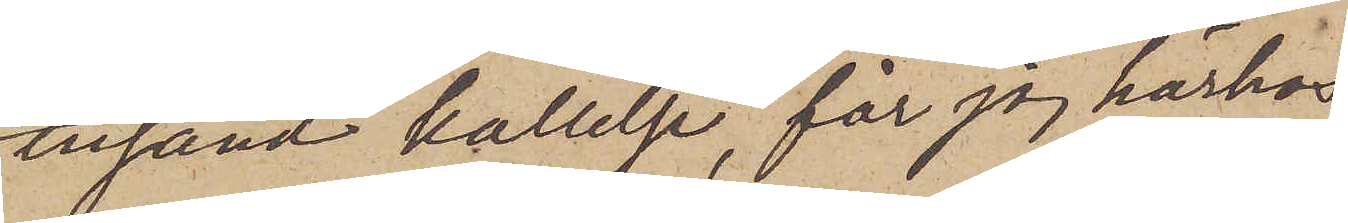insänd kallelse, får jag härhos
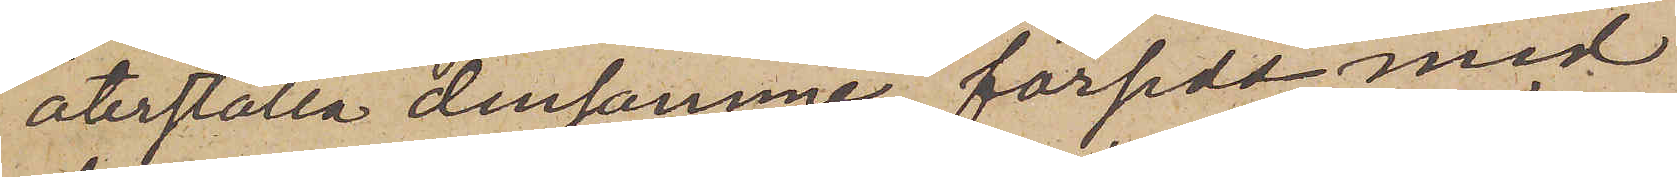återställa densamme försedd med
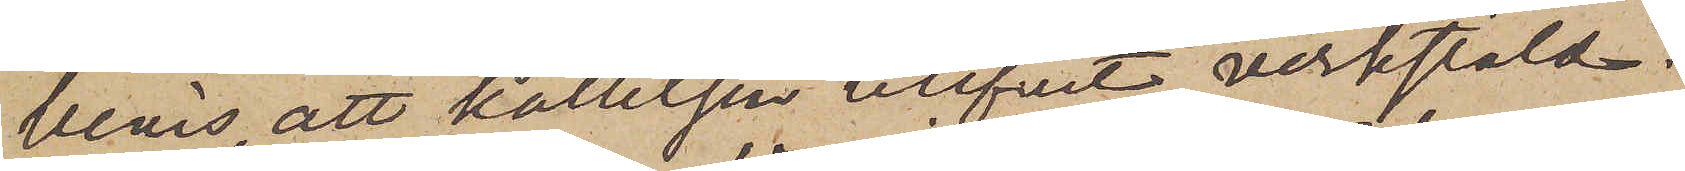bevis, att kallelsen blifvit verkstäld.
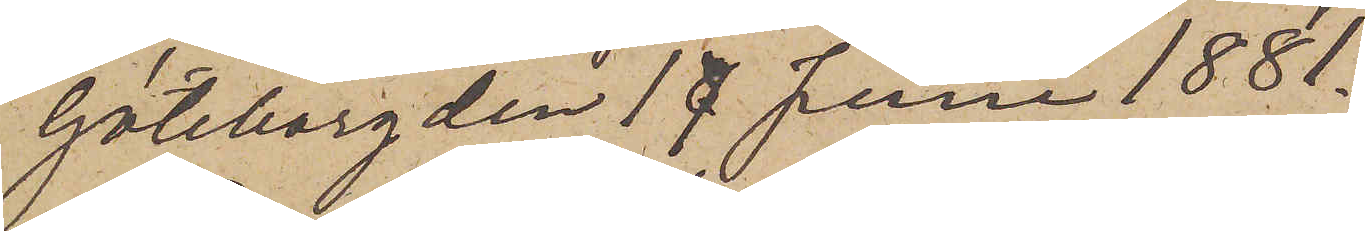Göteborg den 17 Juni 1881.
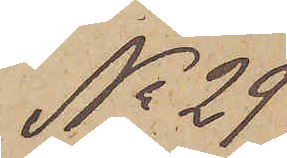No 29
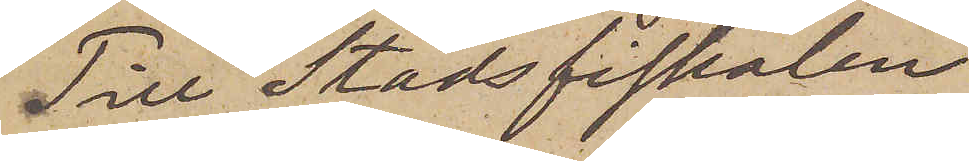Till Stadsfiskalen
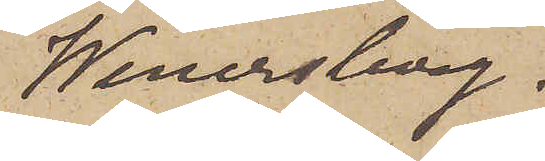Wenersborg.
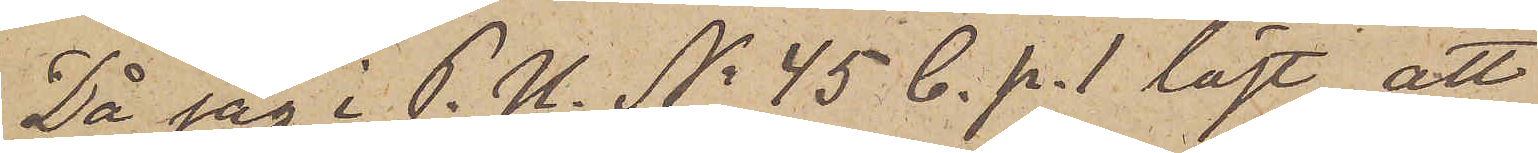Då jag i P. U. No 45 C. p. 1 läst, att
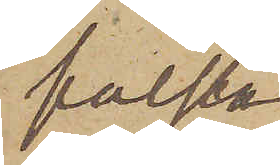falska
